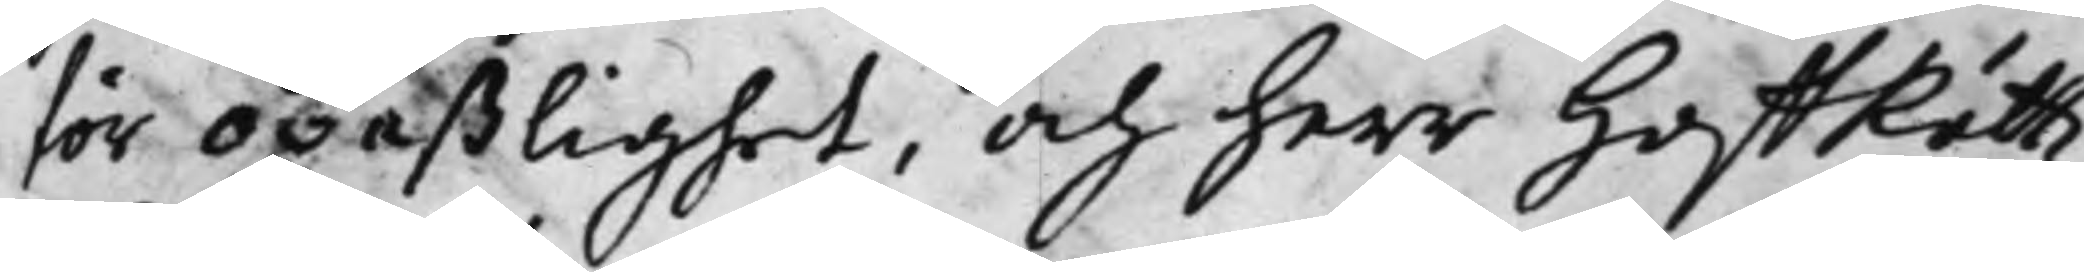för opaßlighet, och herr HoffRättz
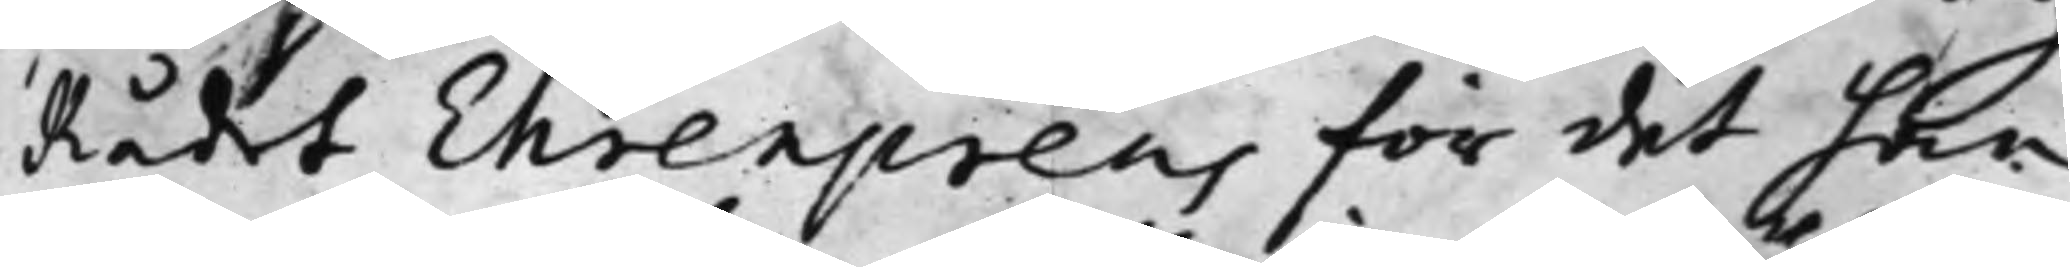Rådet Ehrenpreus för det han
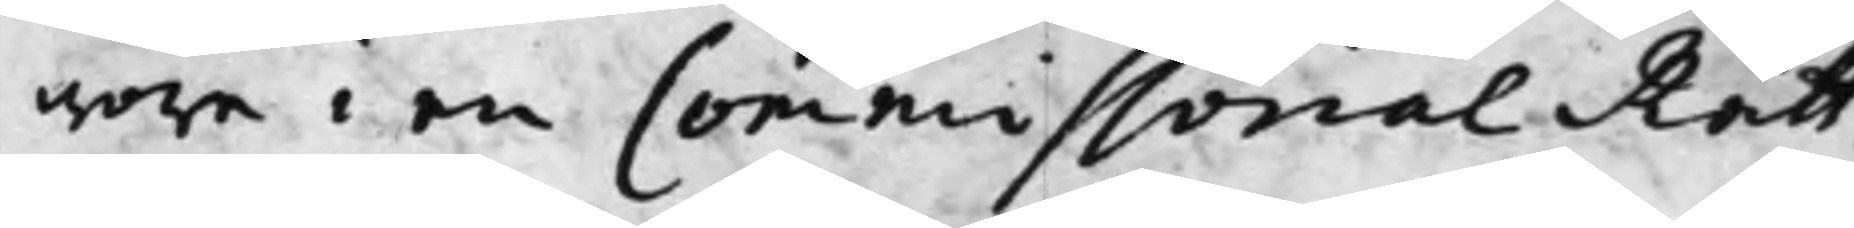wore i en Commissorial Rätt.
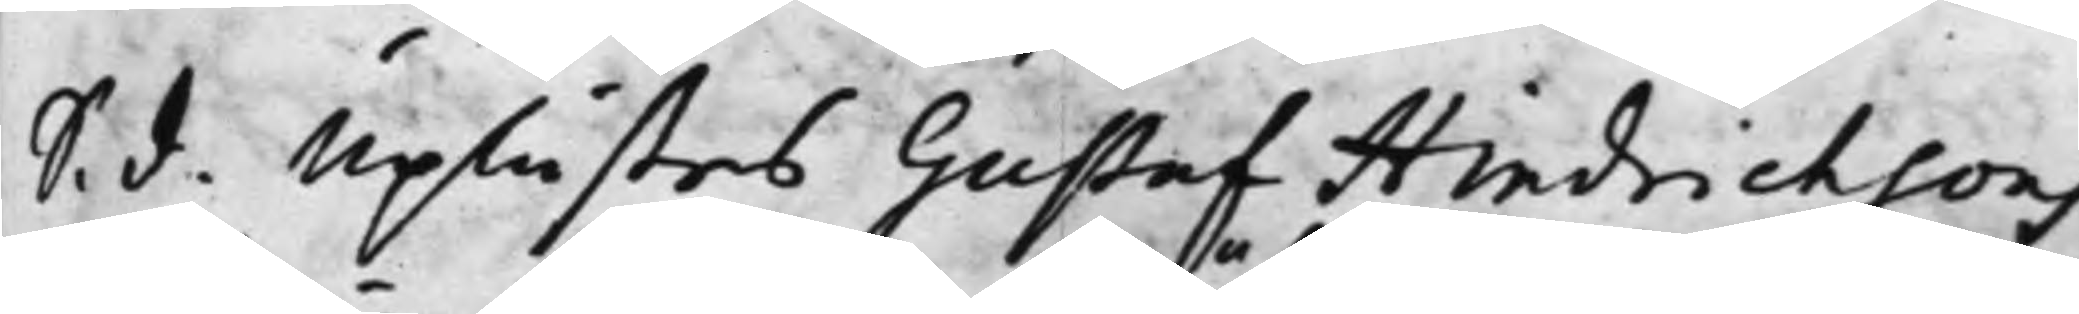S. d. Uplästes Gustaf Hindrichsons
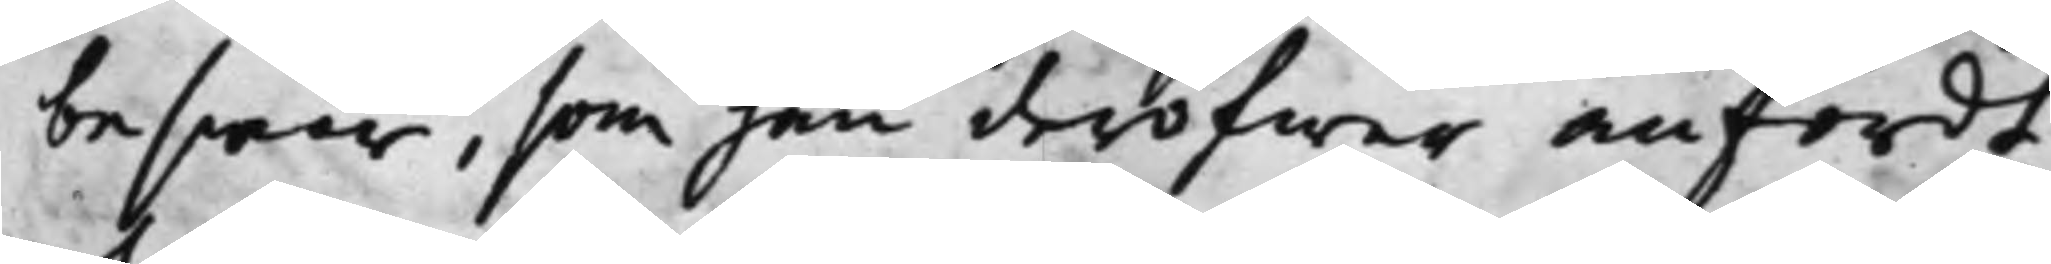beswär, som han deröfwer anfördt
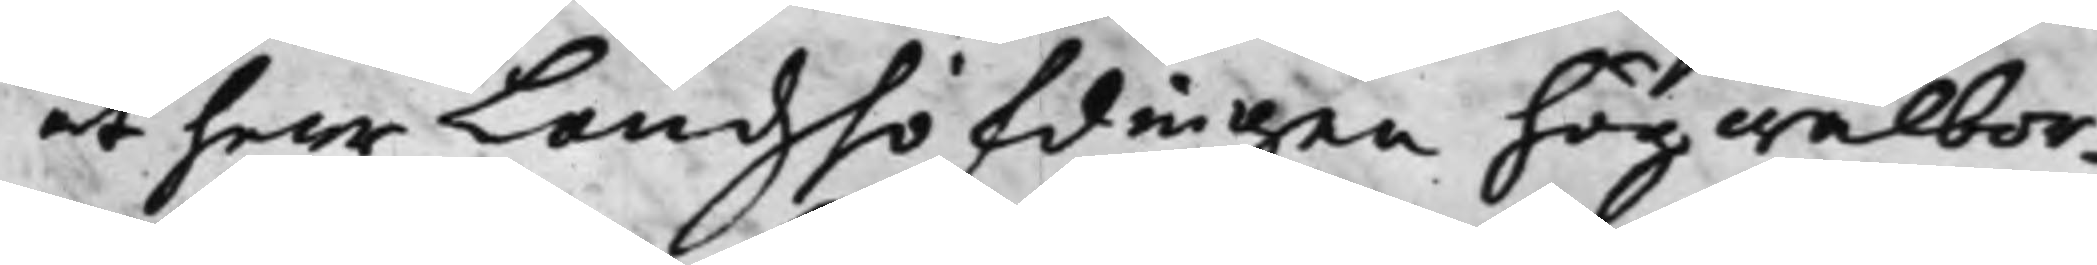at herr Landzhöfdingen högwälbor¬
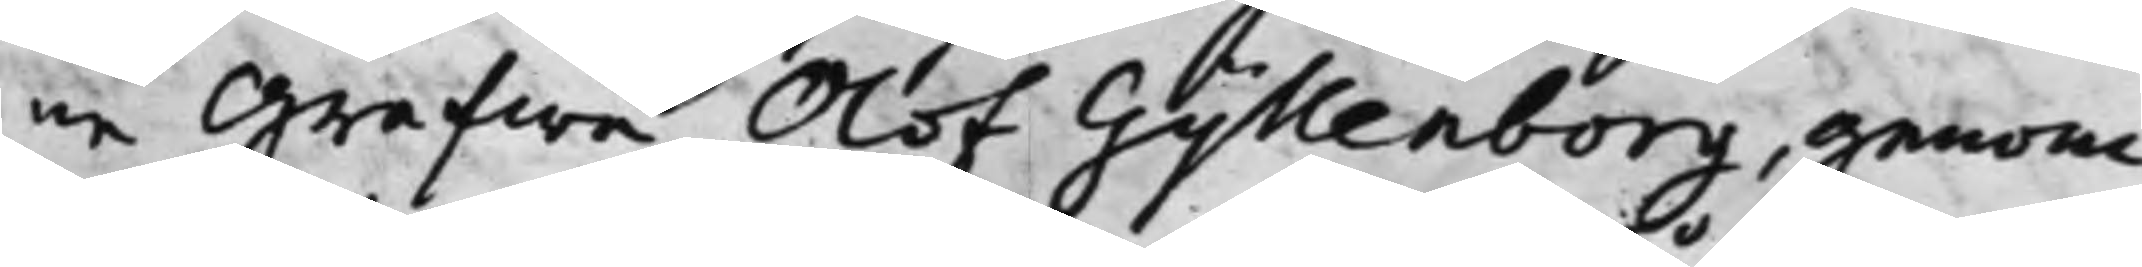ne Grefwe Olof Gyllenborg, genom¬
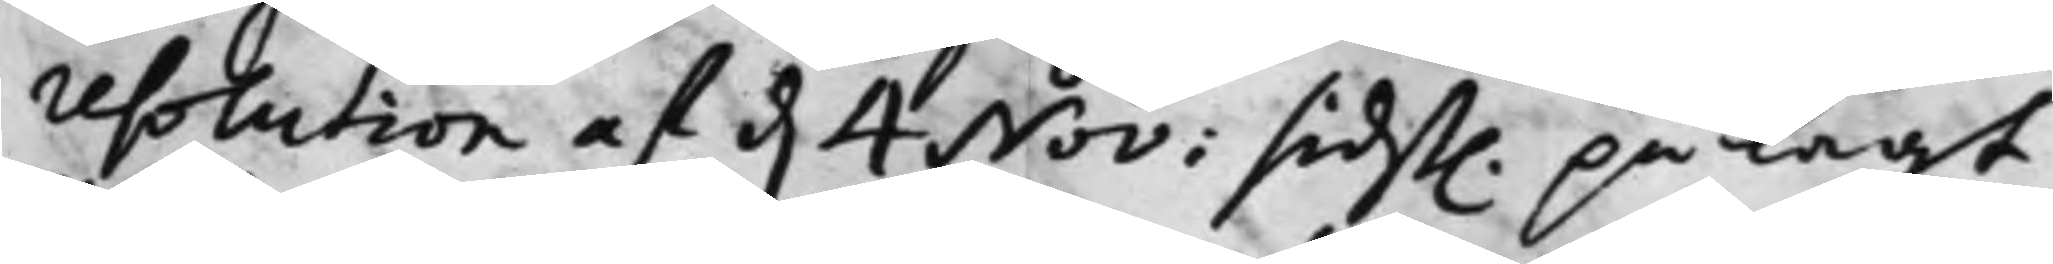resolution af d. 4 Nov: sidst. pålagt
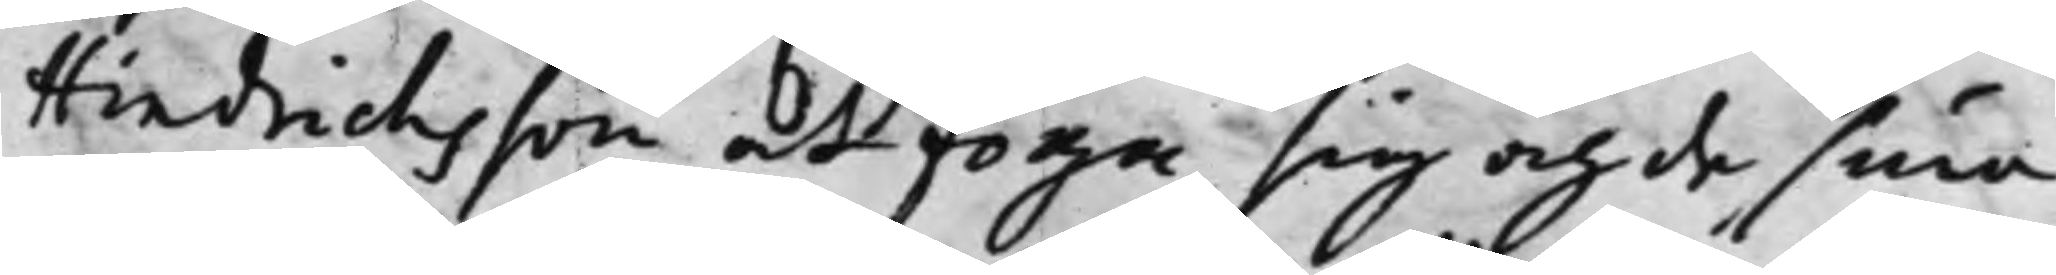Hindrichsson att foga sig och de sina
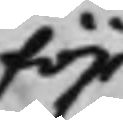för
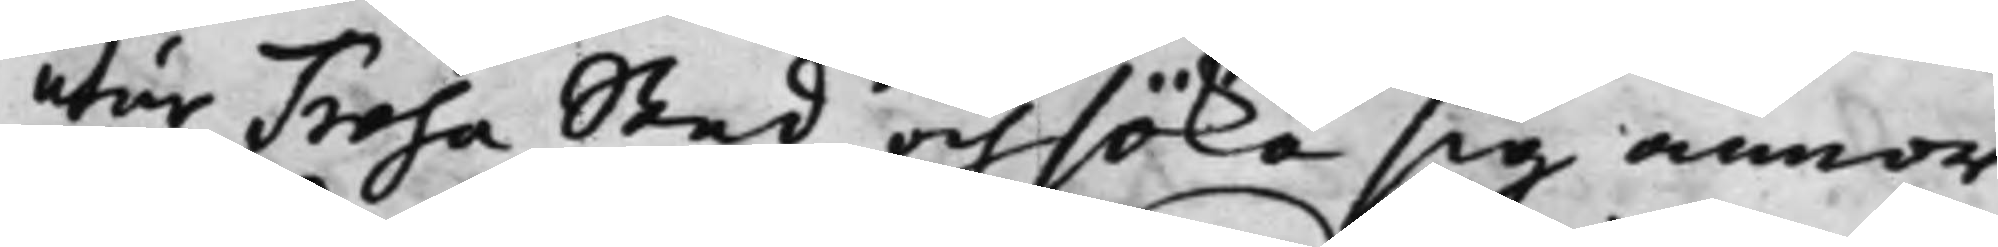utur Trosa Stad och söka sig annor¬
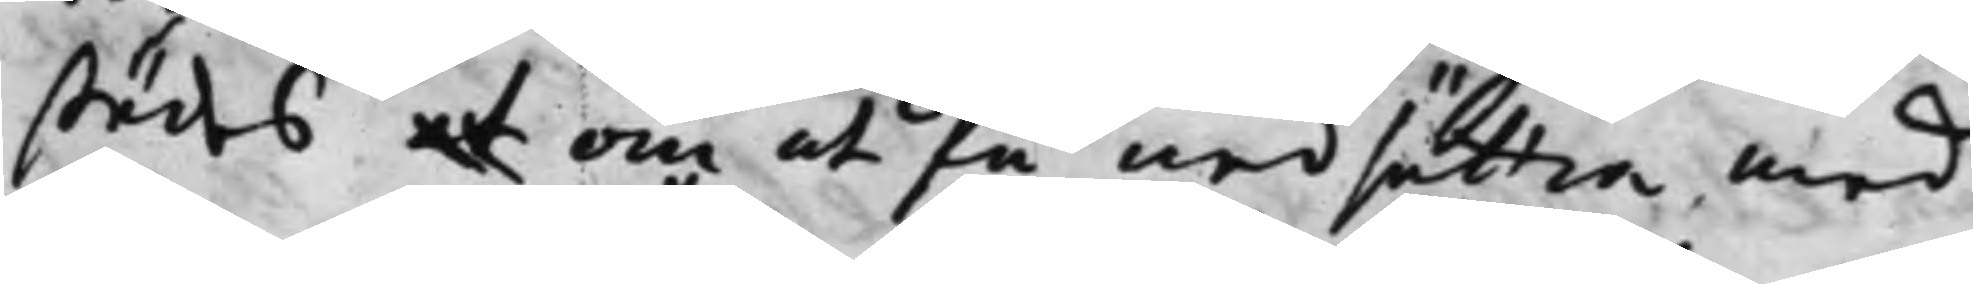städes at om at få nedsättia med
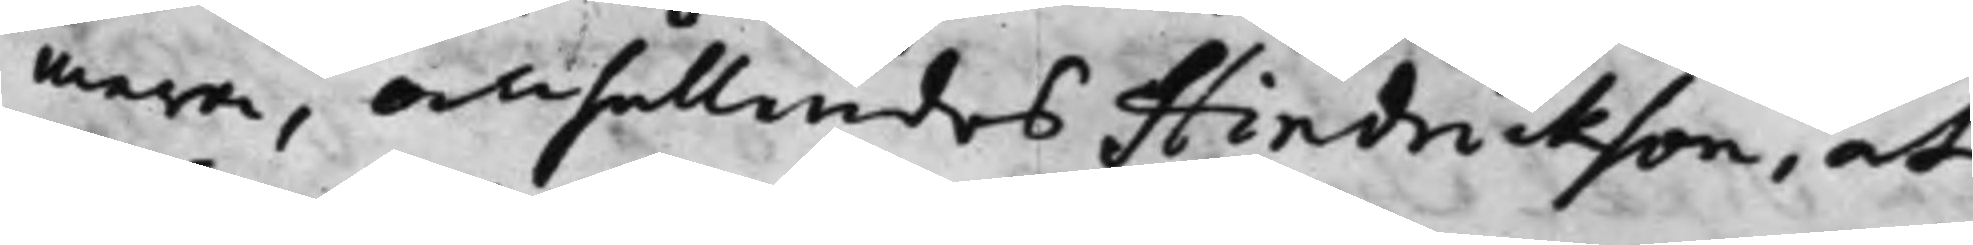mera, anhållandes Hindrickson, at
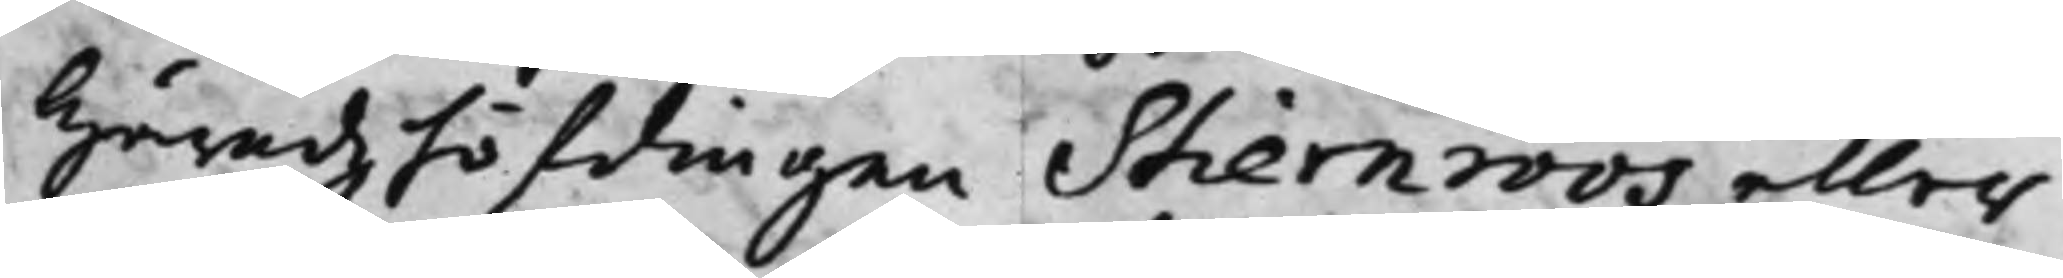Häradzhöfdingen Stiernroos eller
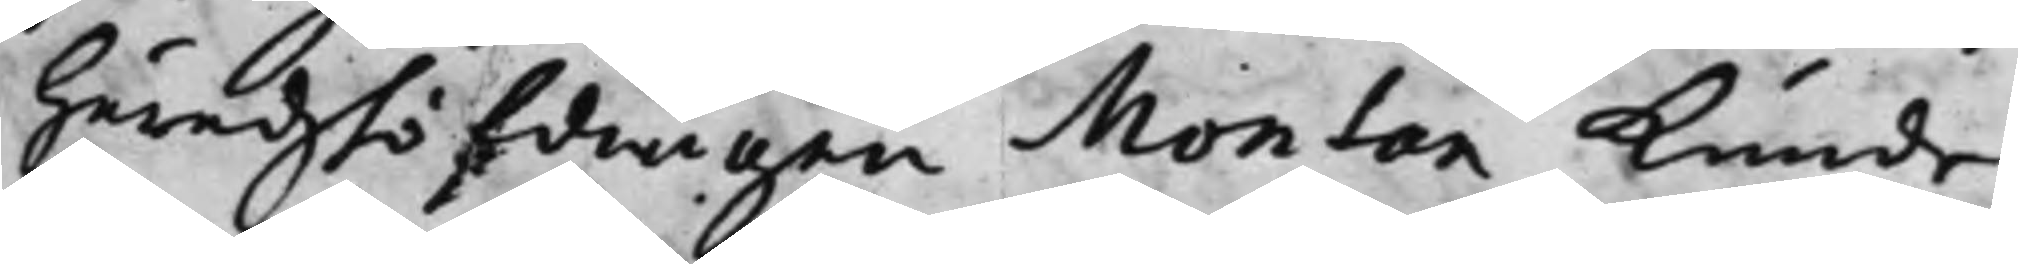Häradshöfdingen Montan kunde
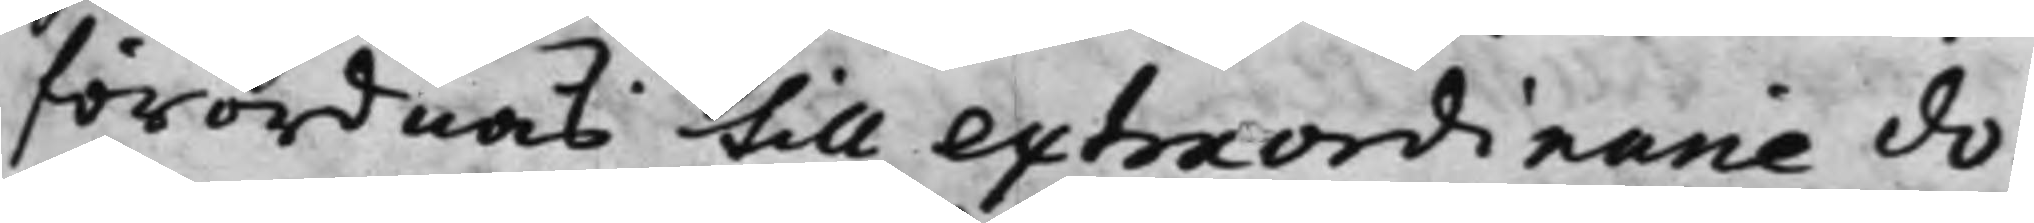förordnas till extraordinarie do¬
